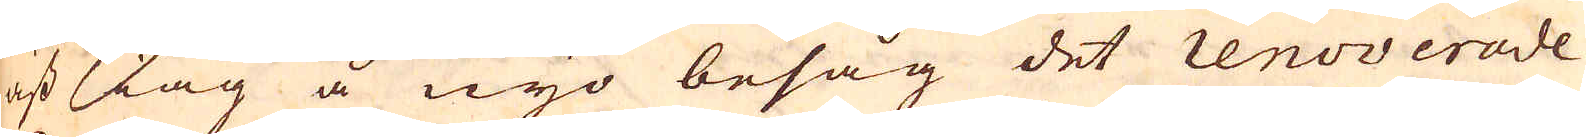äst iag å nyo besåg det renoverade
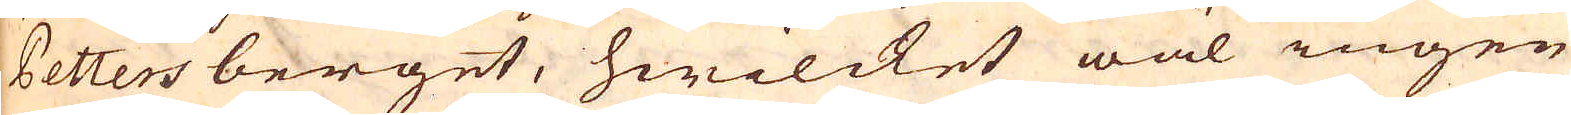Petters berget, hwilcket wäl ingen
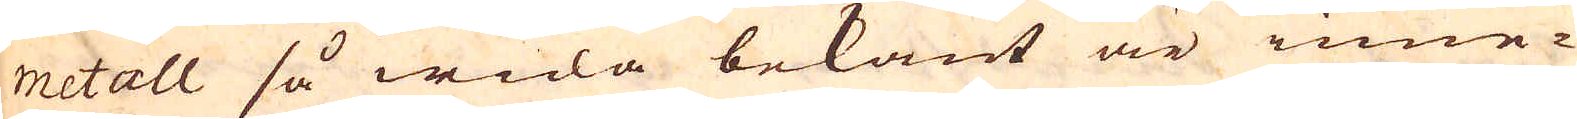metall så wida bekant är inne-
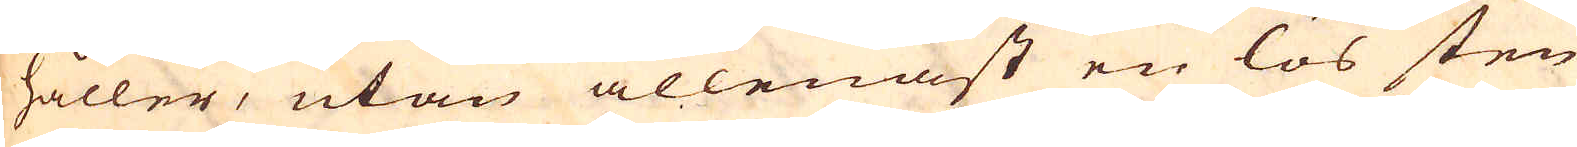håller, utan allenast en lös sten
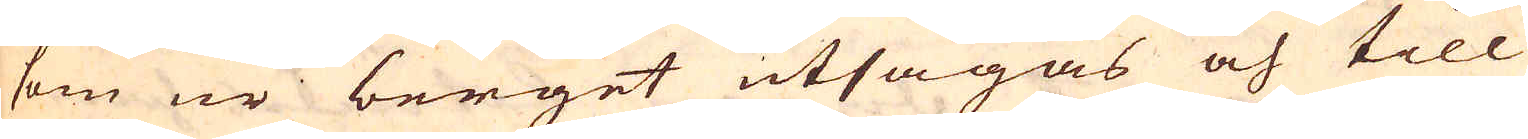som ur berget utsågas och till
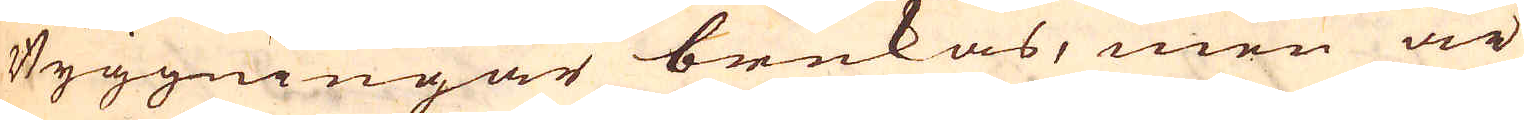Byggningar brukas, men är
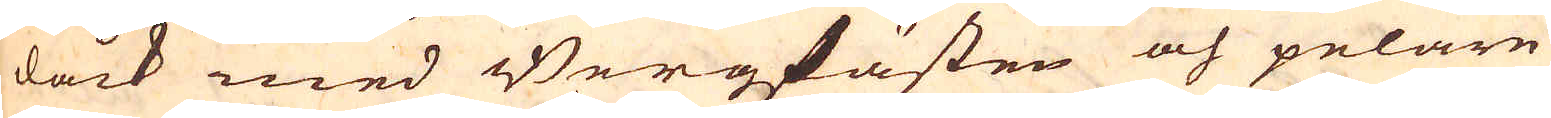dåck med Bergzfästen och pelare
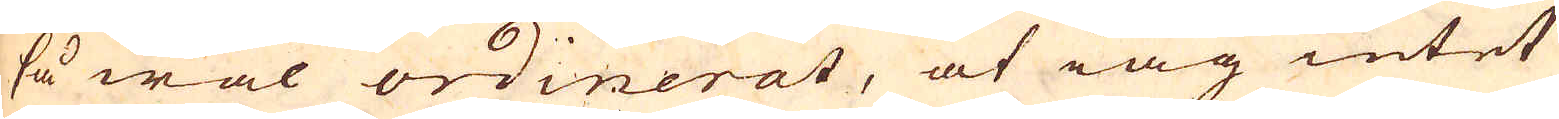så wäl ordinerat, at iag intet
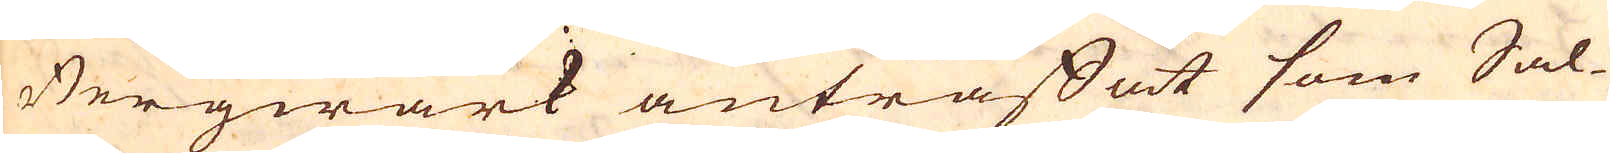Bergwärk anträffat som Sal-
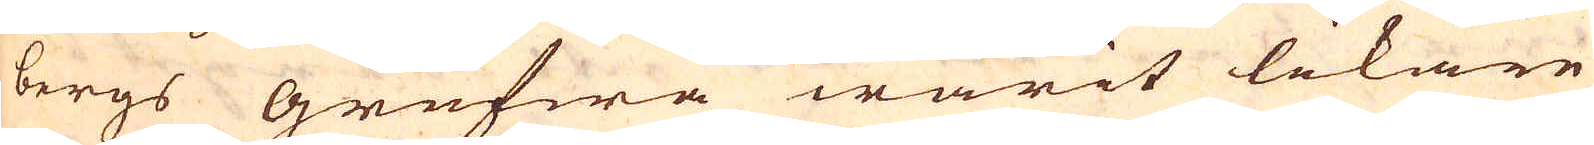bergs grufwa warit likare
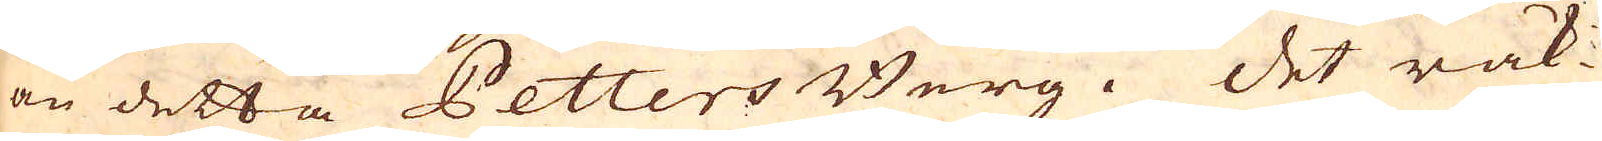än detta Petters Berg. Det räk-
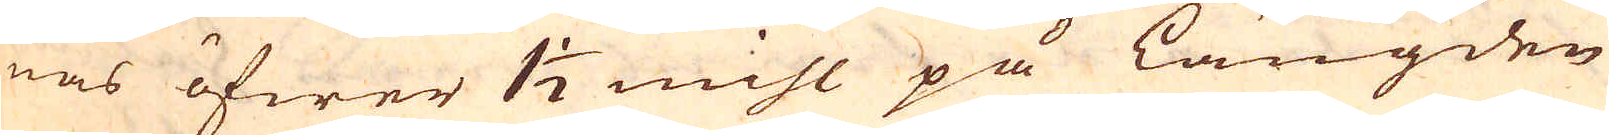nas öfwer 1 1/2 mihl på längden
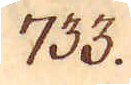733.
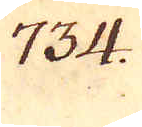734.
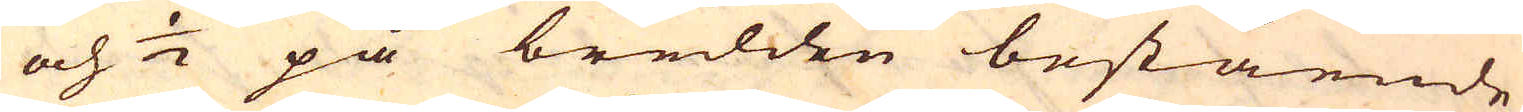och 1/2 på bredden bestående
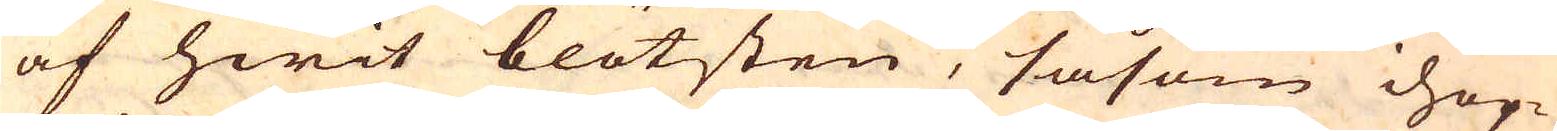af hwit blötsten, såsom ihop-
